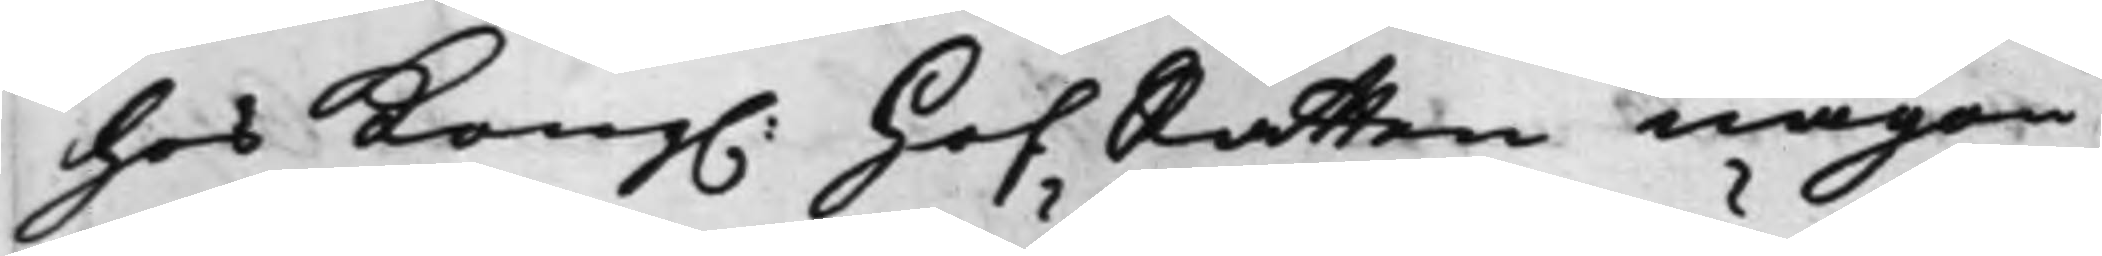hos Kong. HofRätten någon 
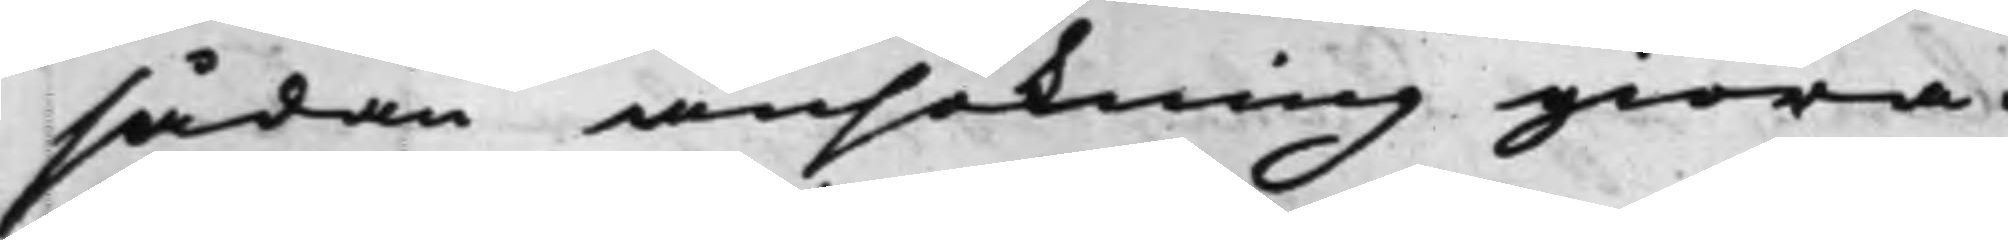sådan ansökning giöra.
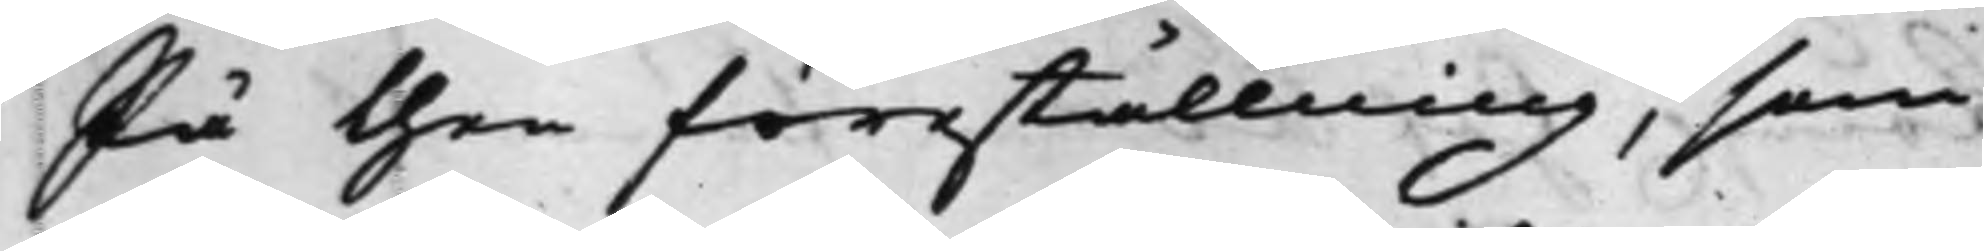På then föreställning, som
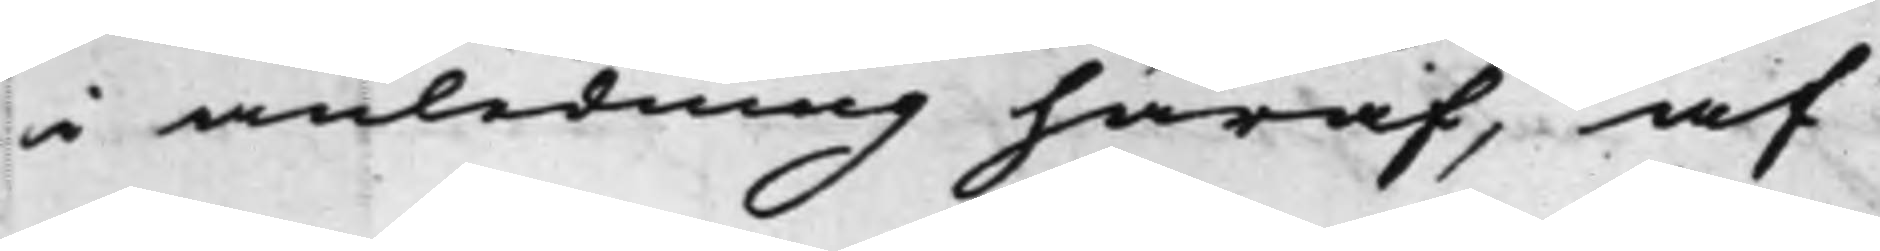i anledning häraf, af
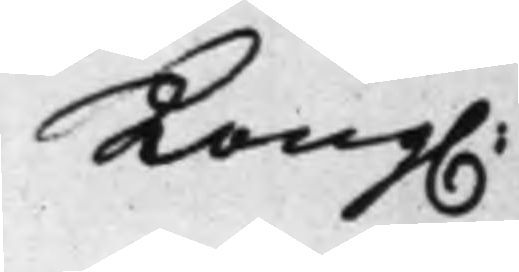Kong. 
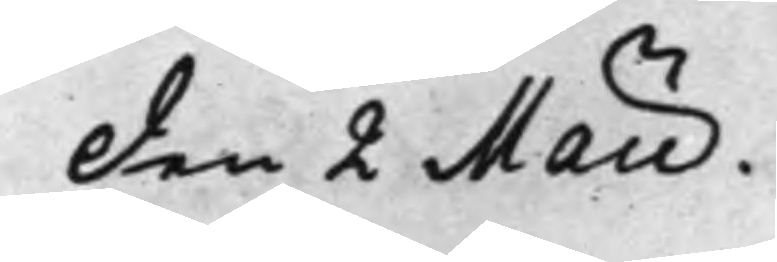Den 2 Maii. 
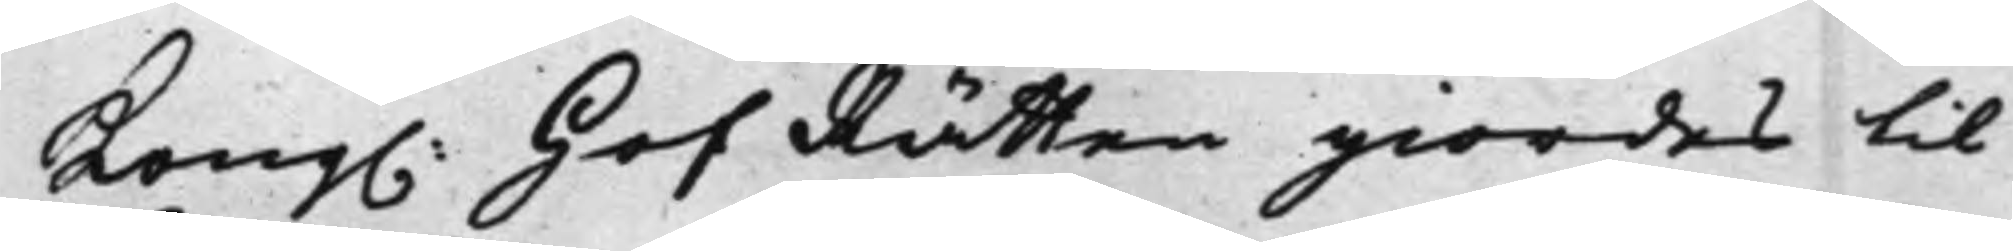Kong. HofRätten giordes til 
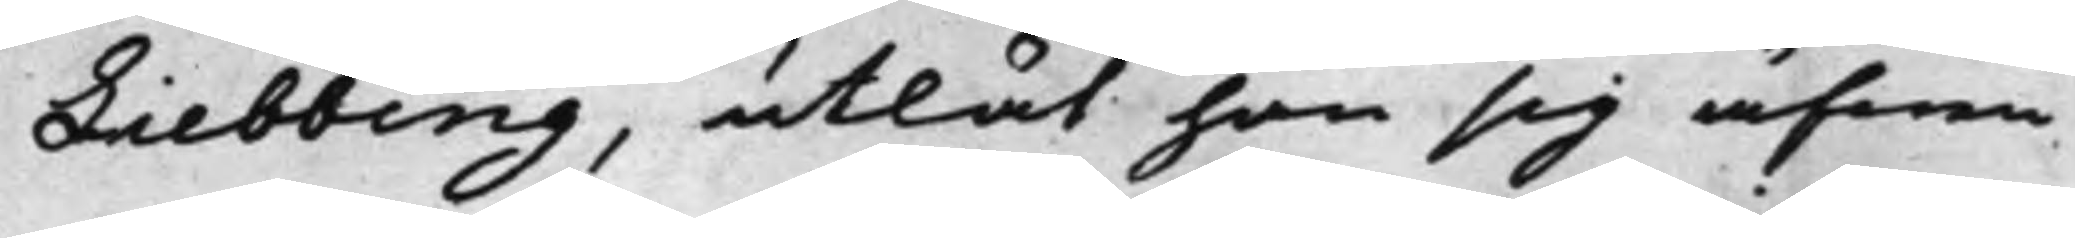Liebbing, utlät han sig äfwen
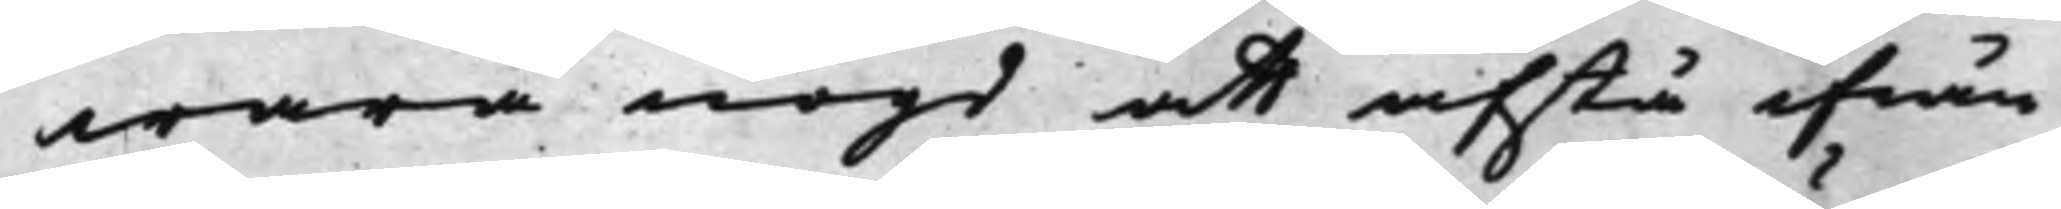wara nögd att afstå ifrån
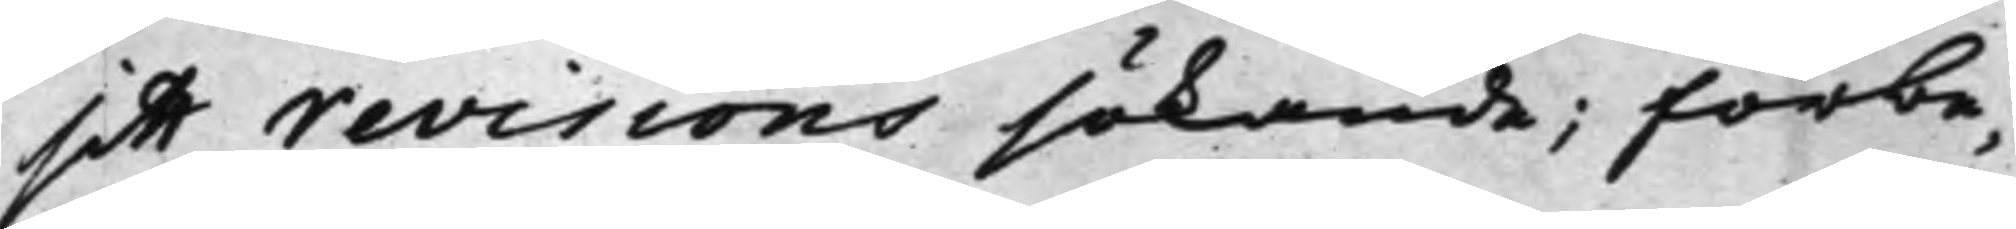sitt revisions sökande; förbe¬
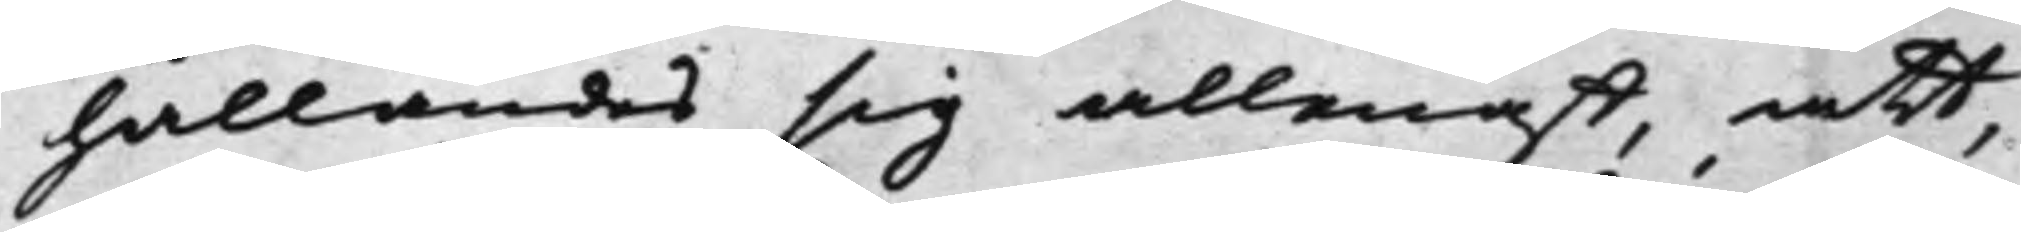hållandes sig allenast, att,
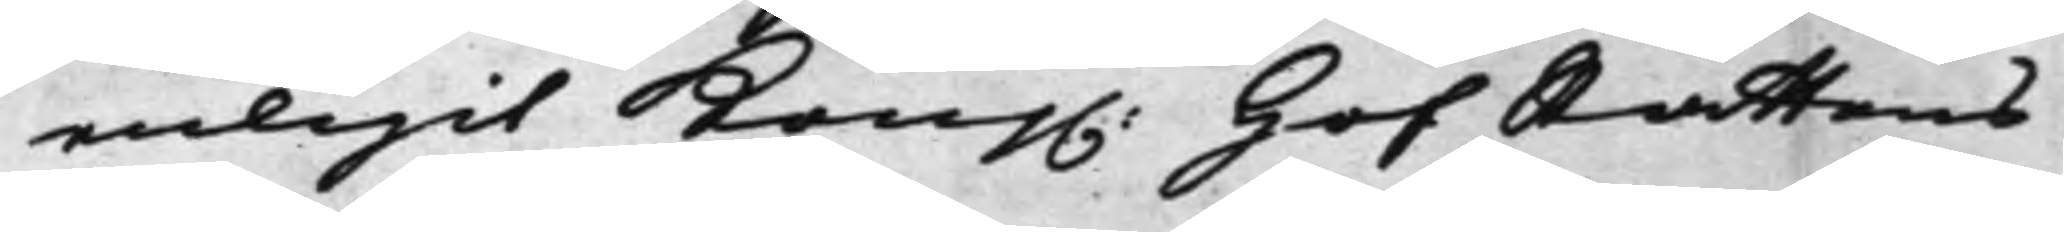enligit Kong. HofRättens 
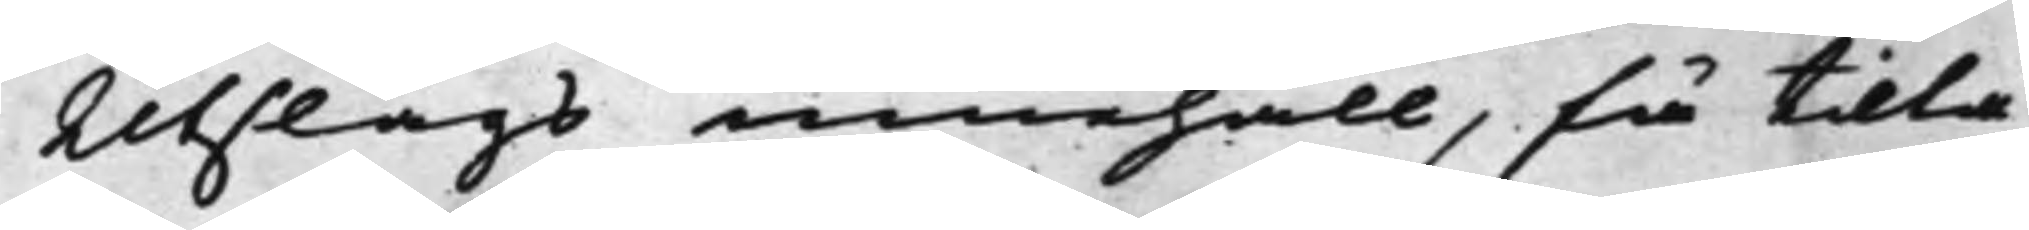Utslags innehåll, få tilta¬
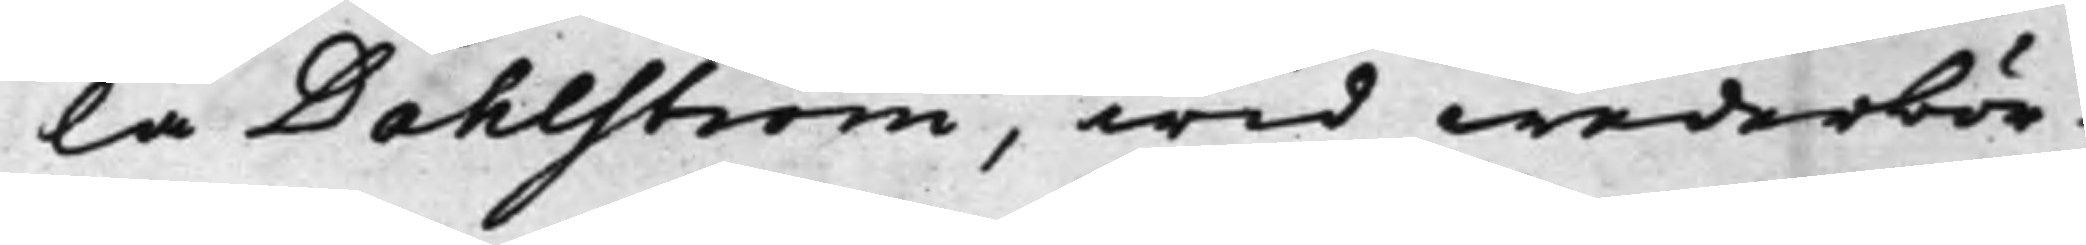la Dahlström, wid wederbör¬
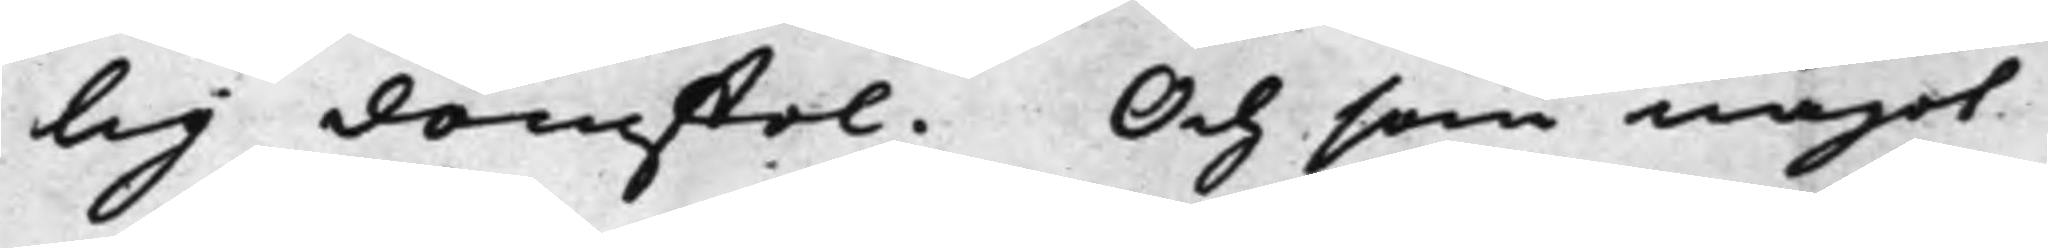lig domstol. Och som något
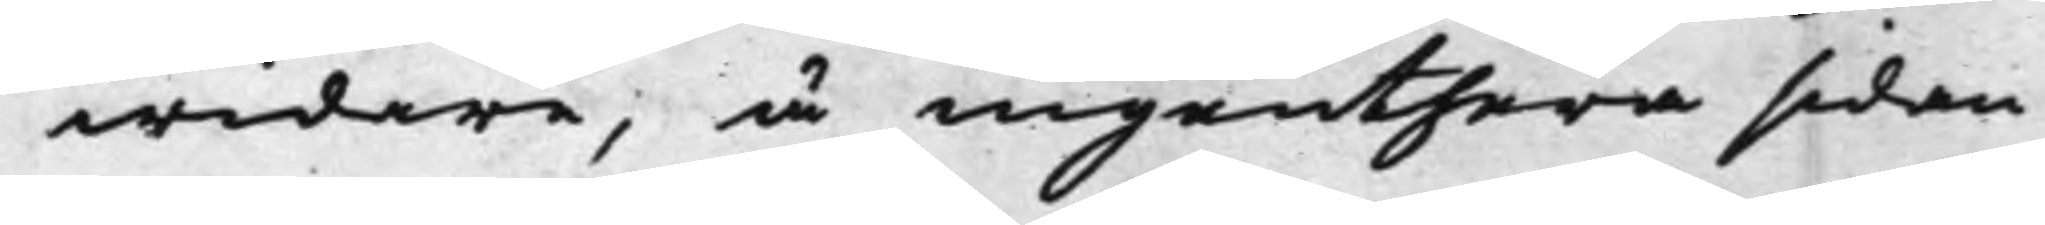widare, å ingenthera sidan
